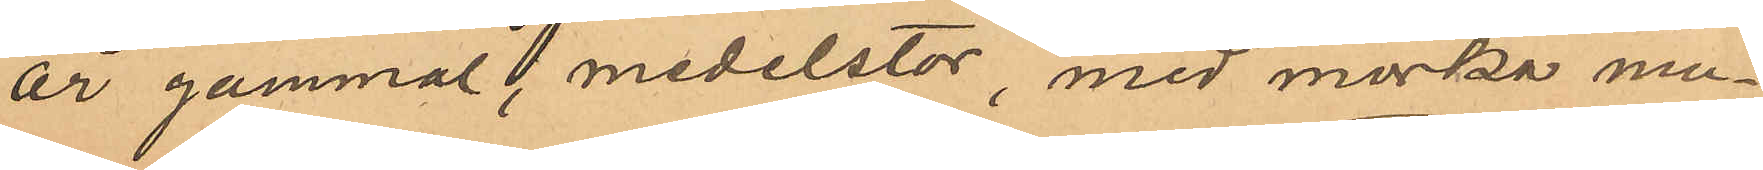år gammal, medelstor, med mörka mu¬
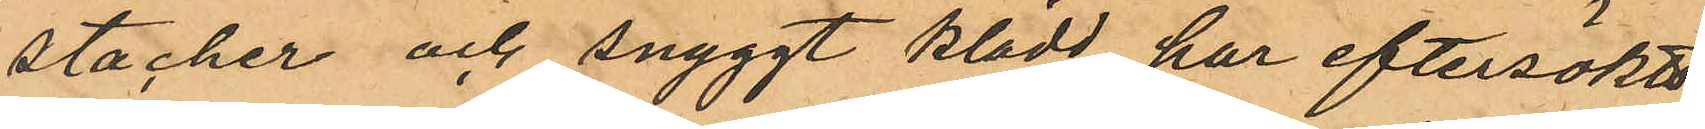stacher och snyggt klädd, har eftersökts
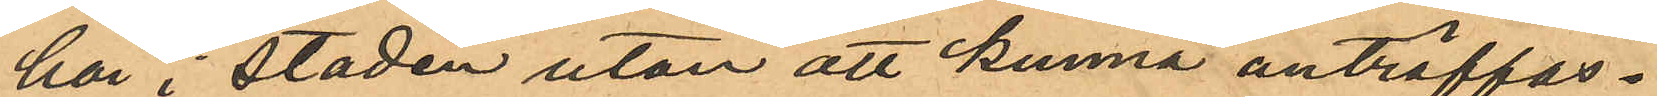här i staden utan att kunna anträffas.
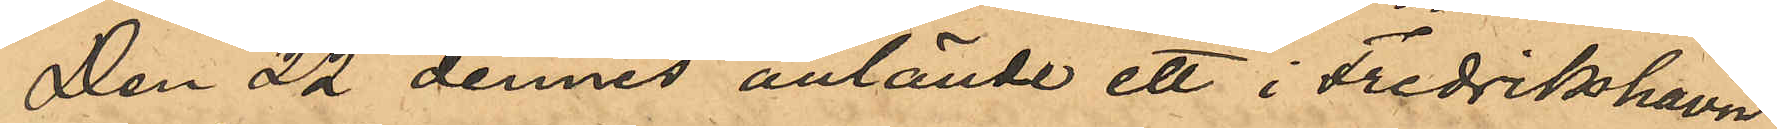Den 22 dennes anlände ett i Fredrikhavn
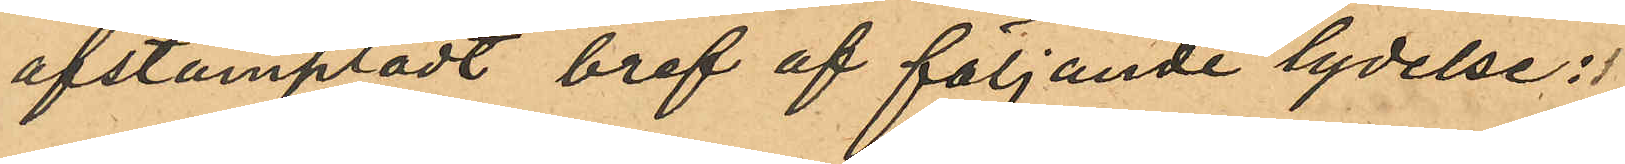afstämpladt bref af följande lydelse:
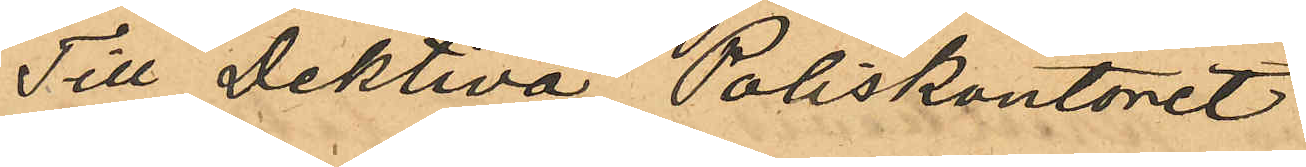Till Dektiva Poliskontoret
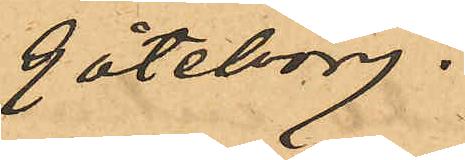Göteborg.
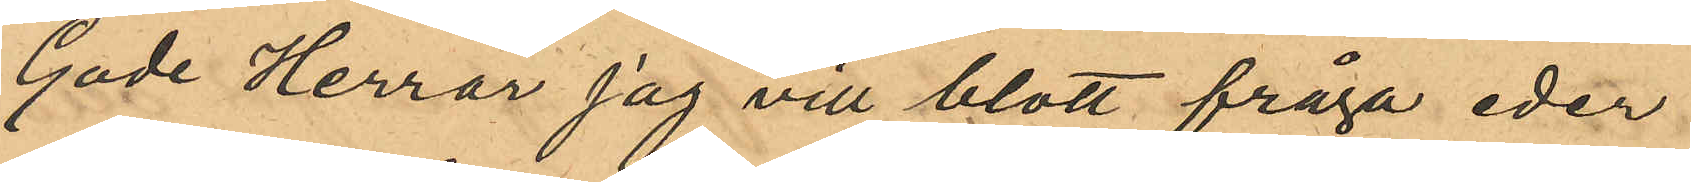Gode Herrar jag vill blott fråga eder
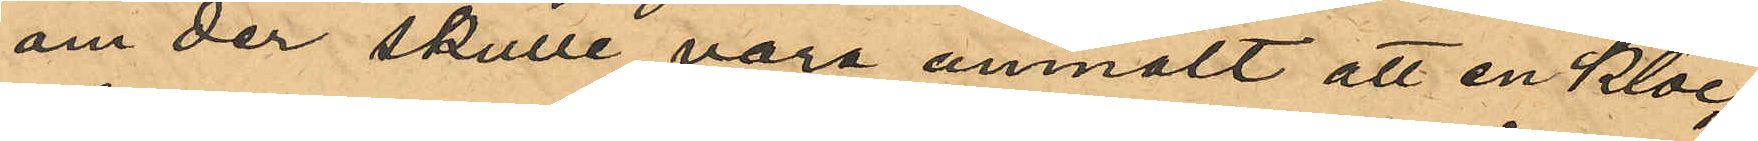om der skulle vara anmält att en Kloc¬
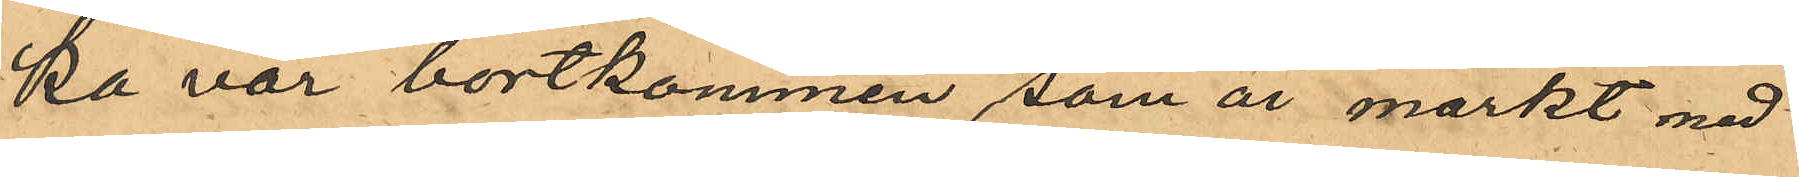ka var bortkommen, som är märkt med
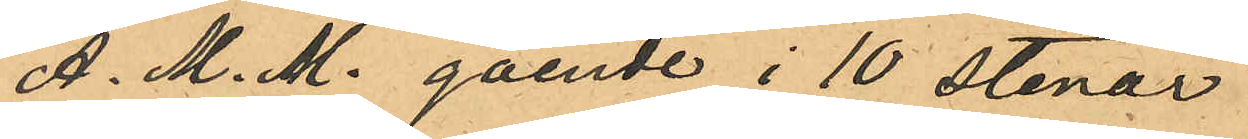A. M. M. gående i 10 stenar.
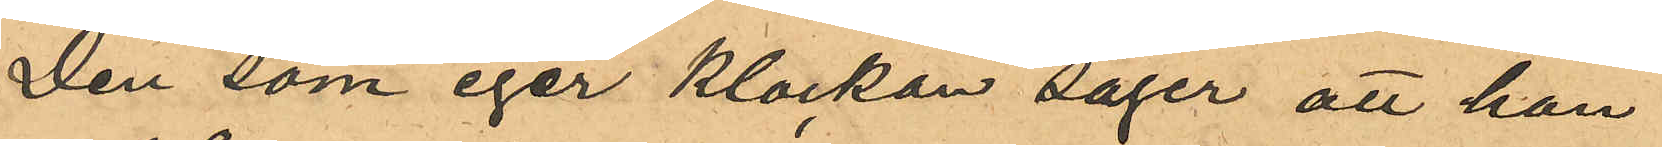Den som eger klockan säger att hon
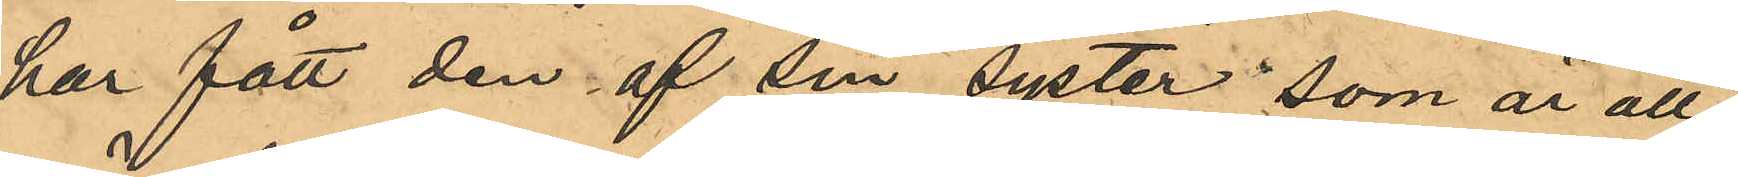har fått den af sin syster som är all¬
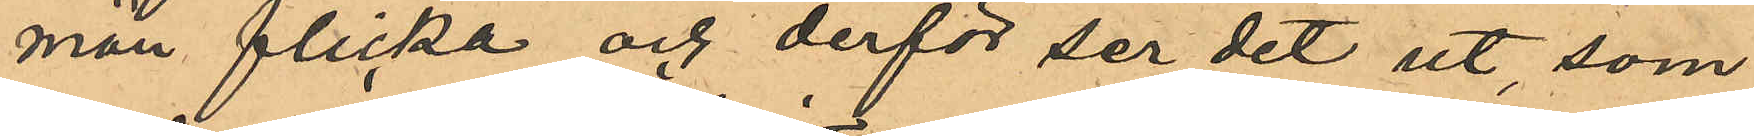män flicka och derför ser det ut, som
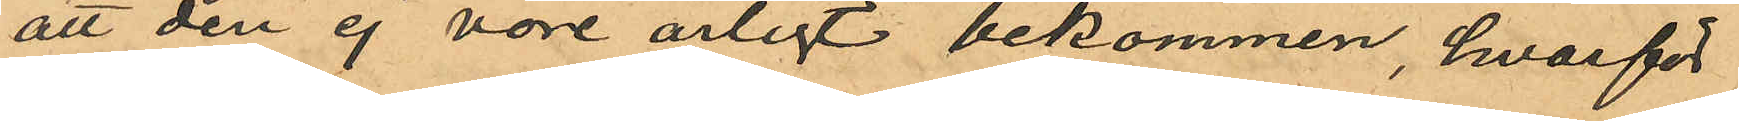att den ej vore ärligt bekommen, hvarför
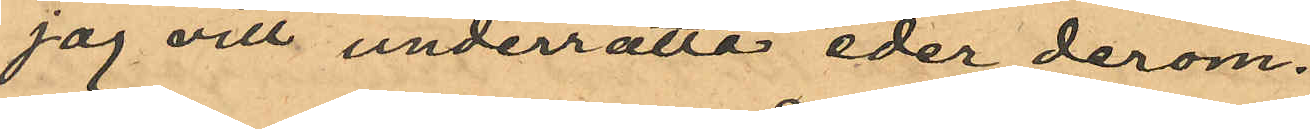jag vill underrätta eder derom.
